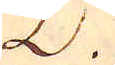.
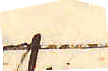ta
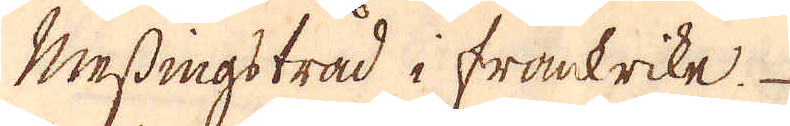Messingstrad i frankrike
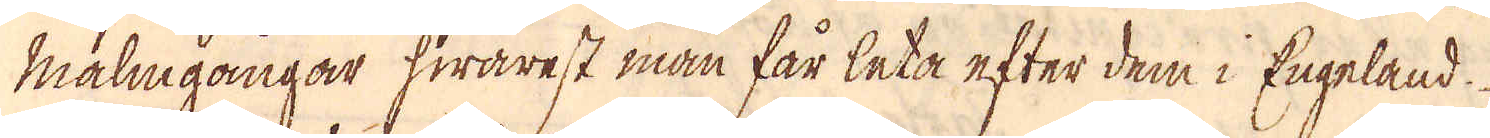mäligångar hwarest man får leta efter dem i Engeland.
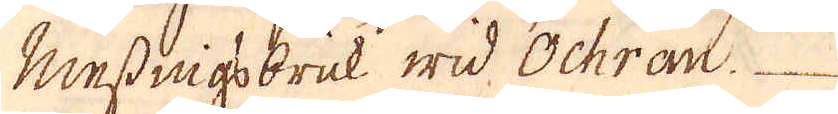Messnigebruk wid Ochran.
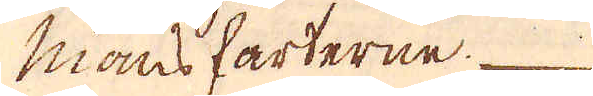mansharterne.
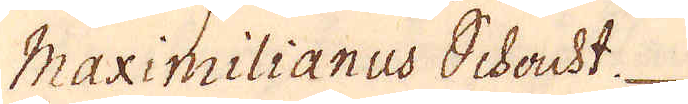Maximilianus Schacht
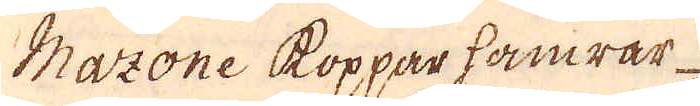Mazone Koppar hamrar-
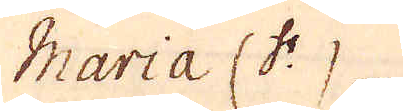Maria CC: 
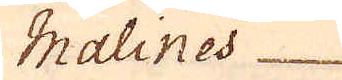Malines
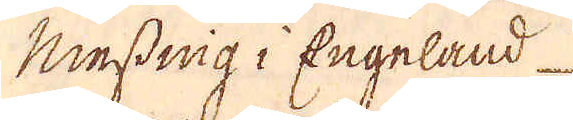Messnig i Engeland
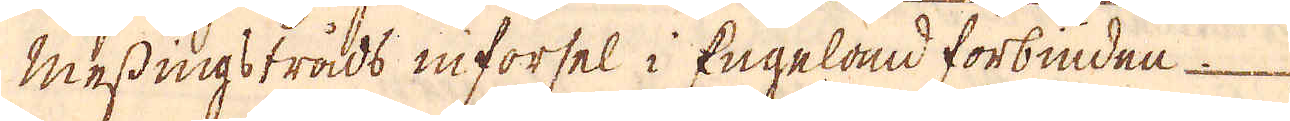Messingströds niforsel i Engelod forbindea
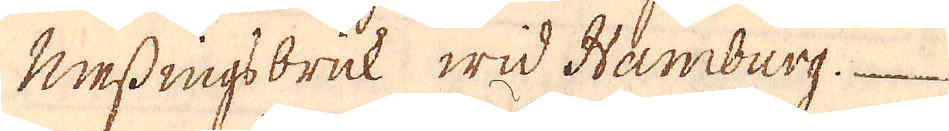Messingsbruk wid Hamdurg.
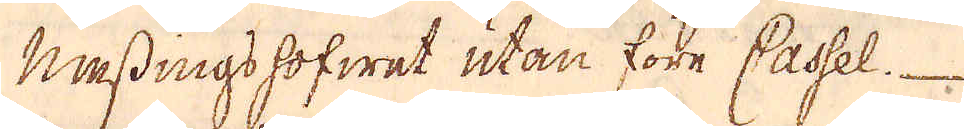Mesdings hofwet utan före Casal
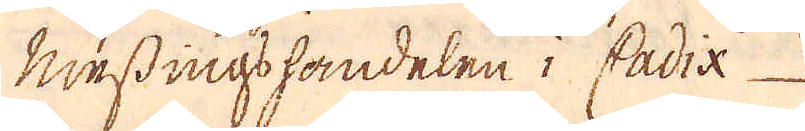Wessnigshandelen i Cadia
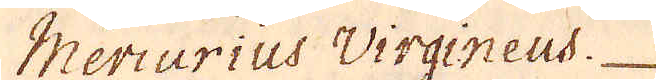Meriurius Virgineus
